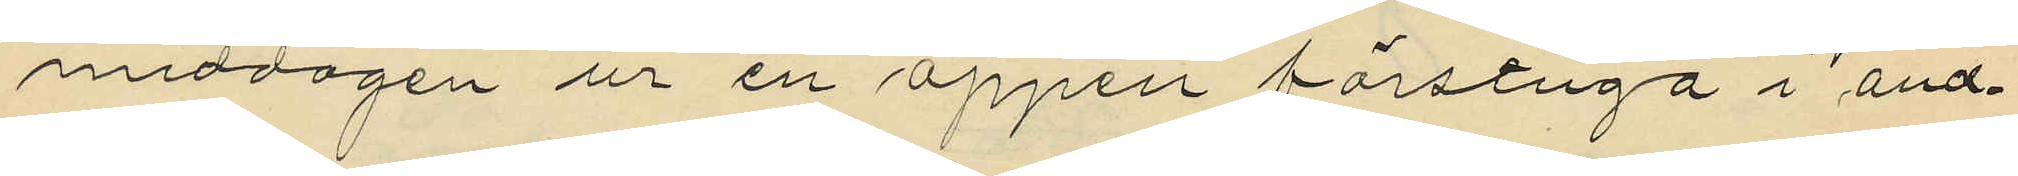middagen ur en öppen förstuga i änd¬
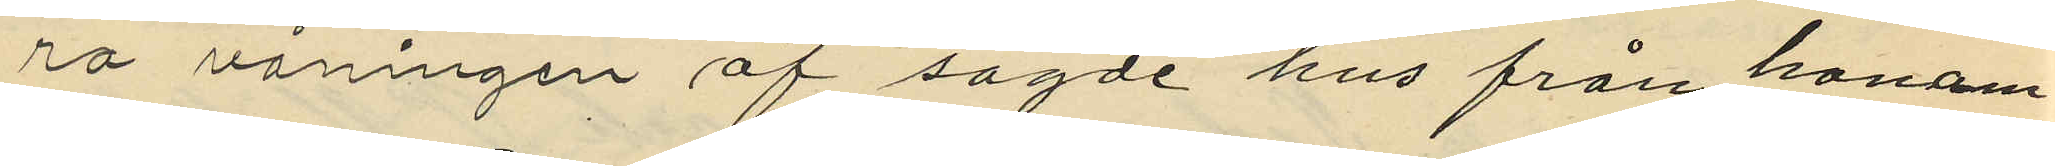ra våningen af sagde hus från honom
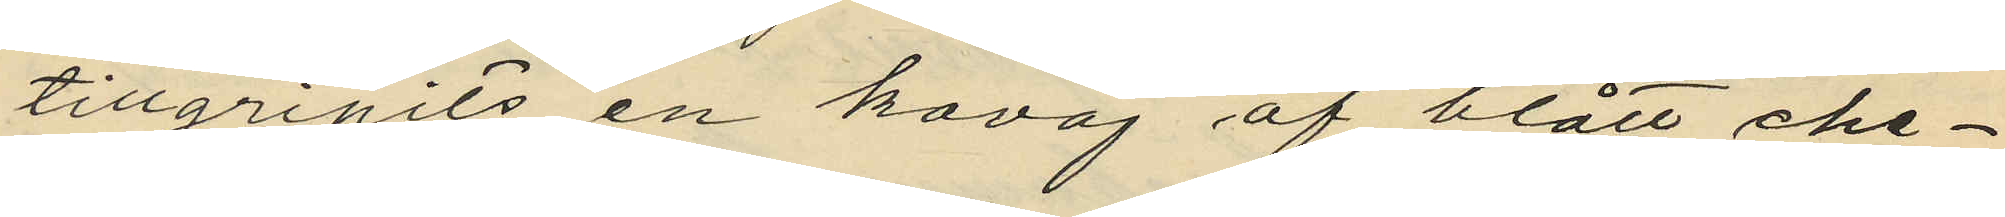tillgripits en kavaj af blått che¬
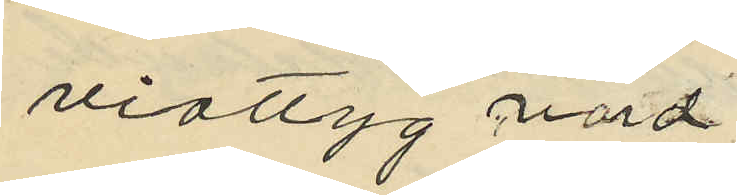viottyg värd
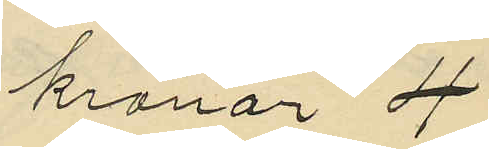kronor 4
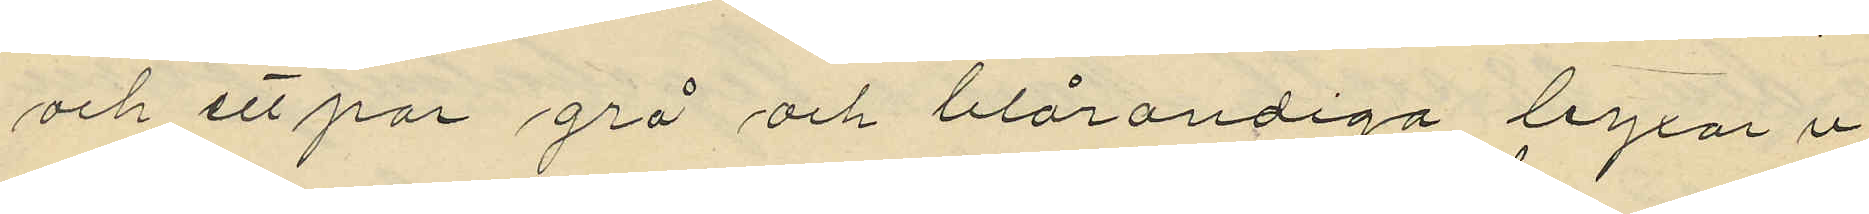och ett par grå och blårandiga byxor i
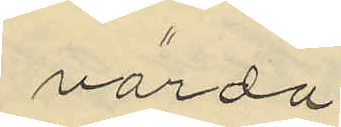värde
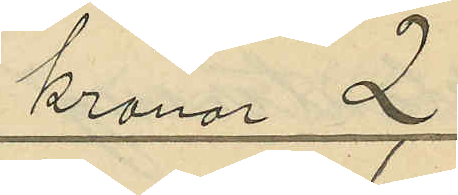kronor 2
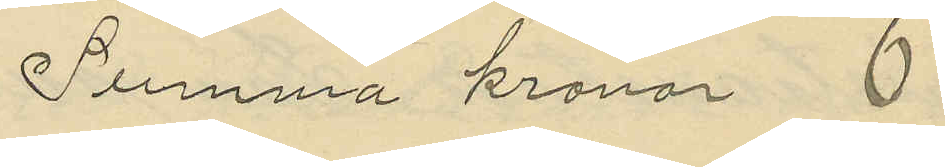Summa kronor
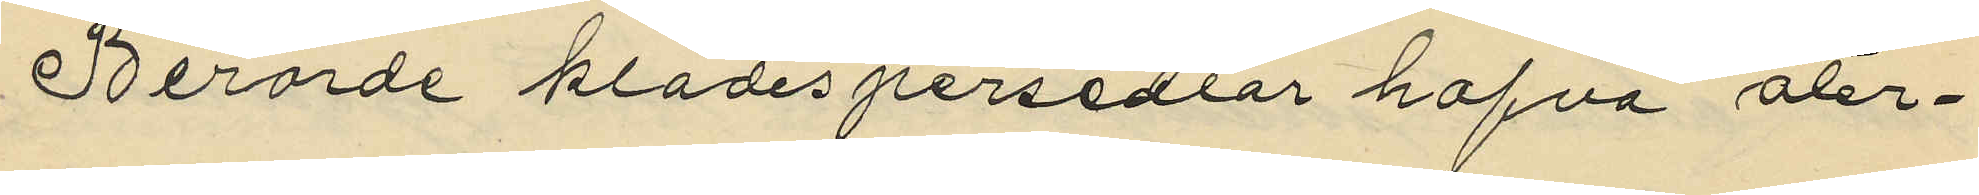Berörde klädespersedlar hafva åter¬
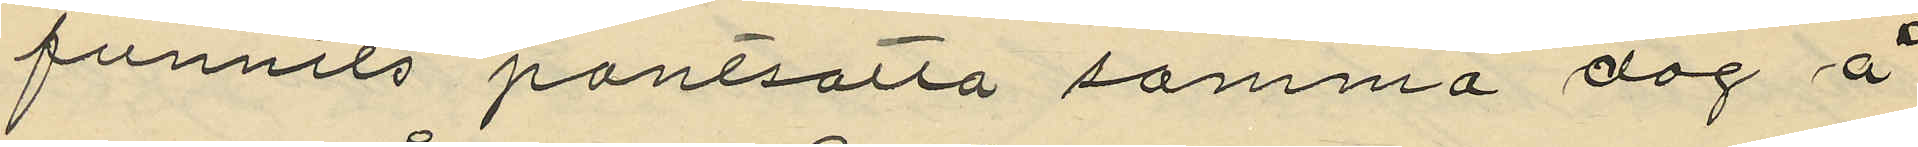funnits pantsatta samma dag å
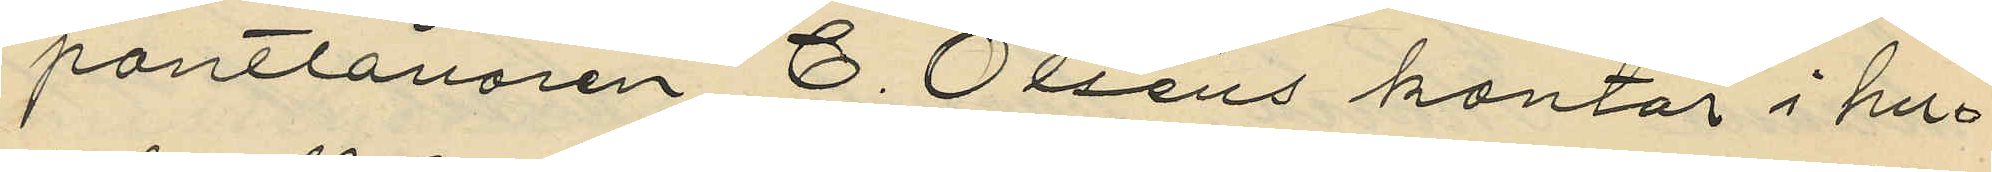pantlånaren C. Olséns kontor i hus¬
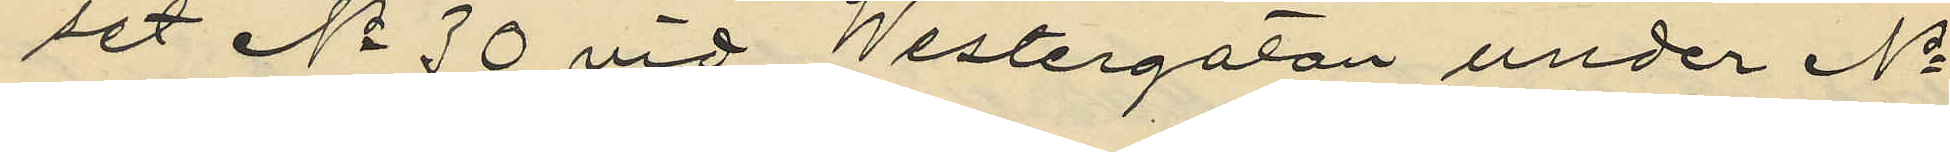set No 30 vid Westergatan under No
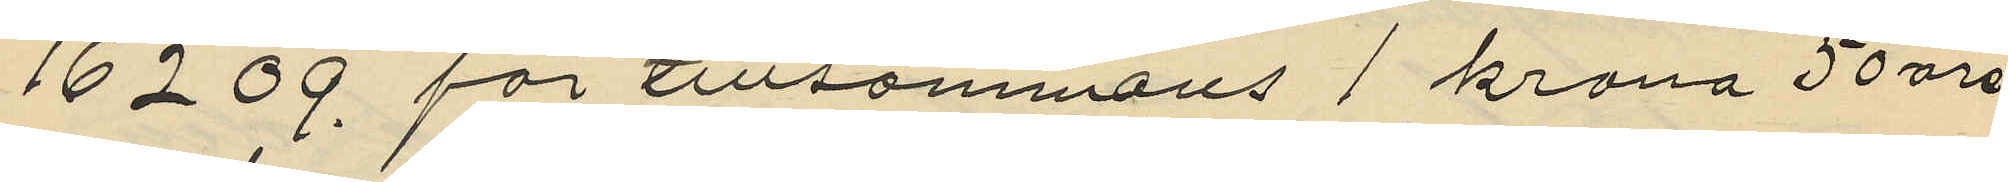16209 för tillsammans 1 krona 50 öre
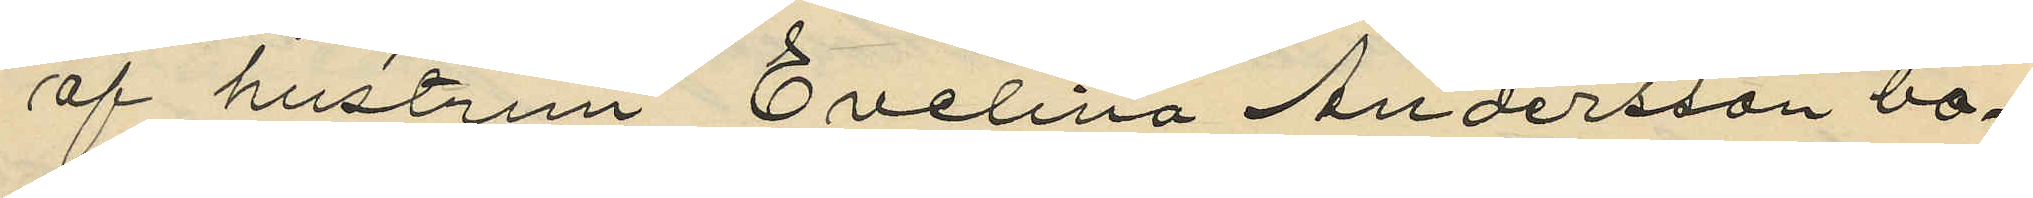af hustrun Evelina Andersson bo¬
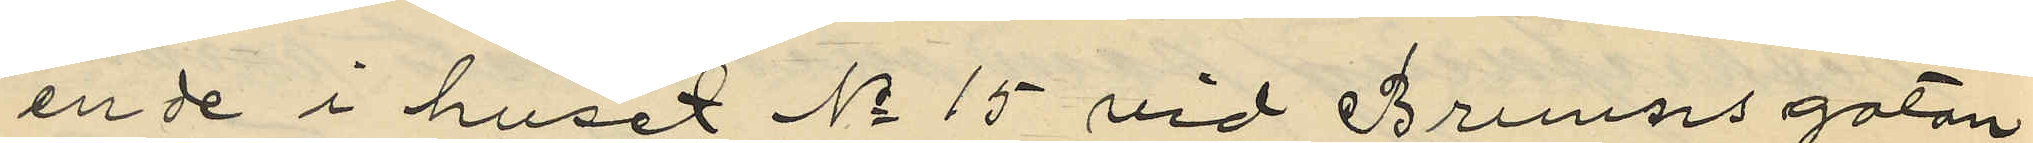en de i huset No 15 vid Brunnsgatan
